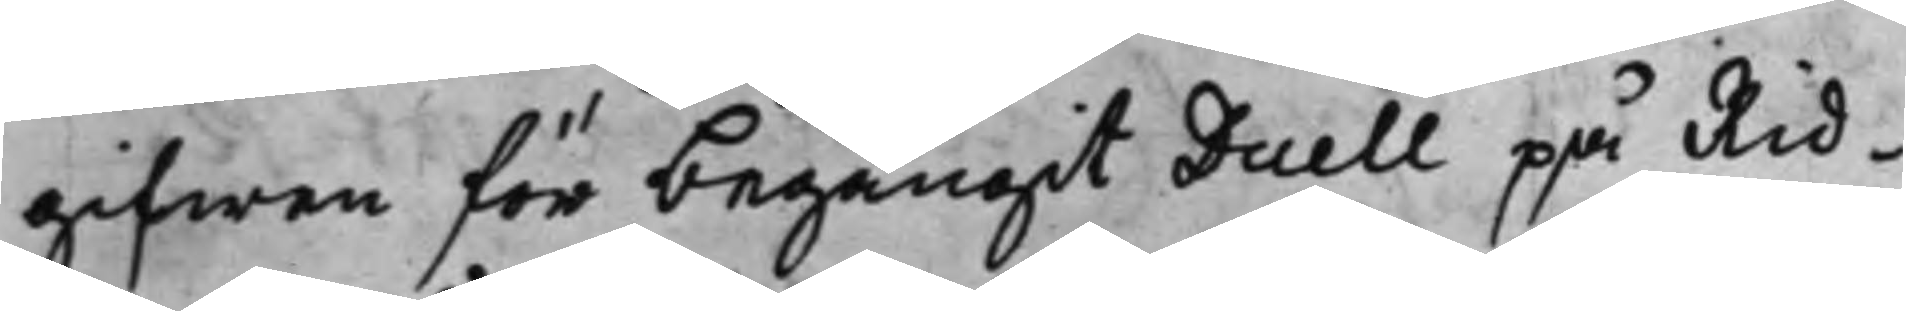gifwen för begångit Duell på Rid¬
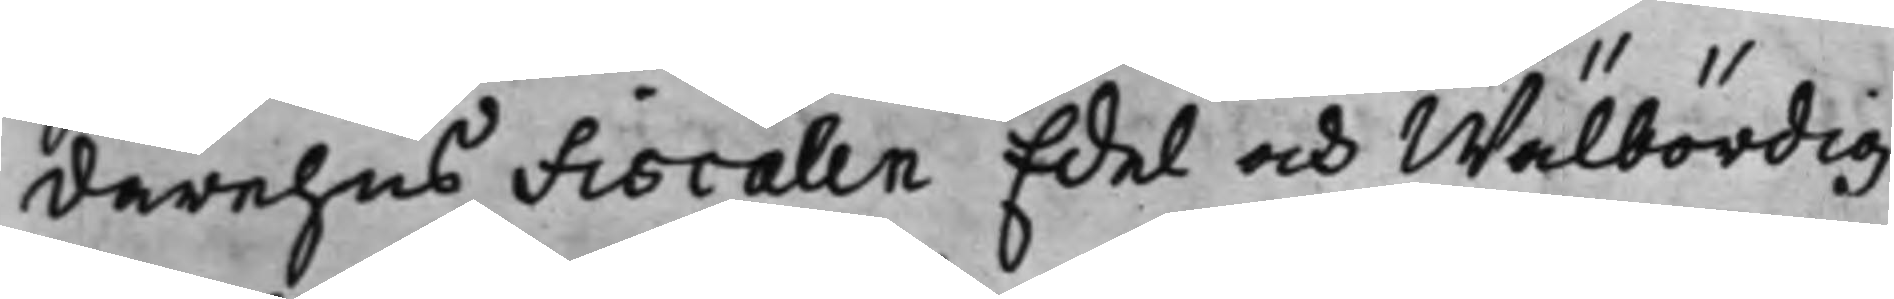darehus Fiscalen Edel och Wälbördig
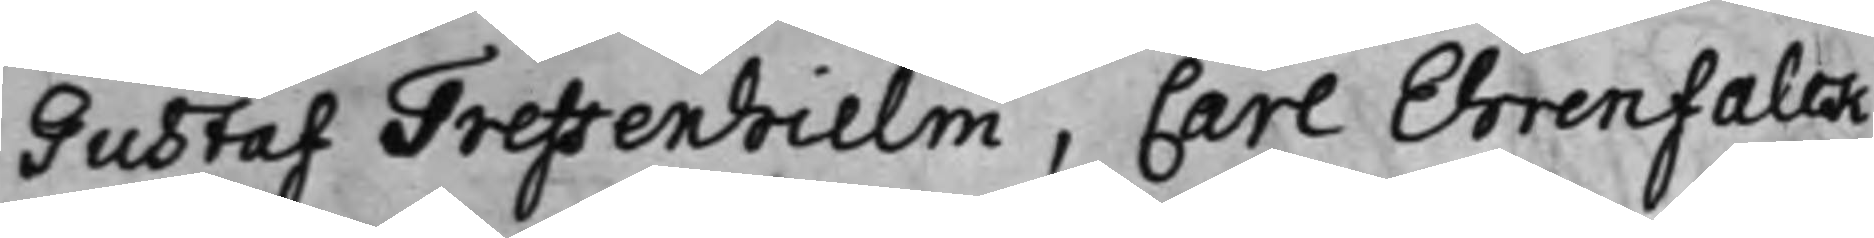Gustaf Treffenhielm, Carl Ehrenfalk
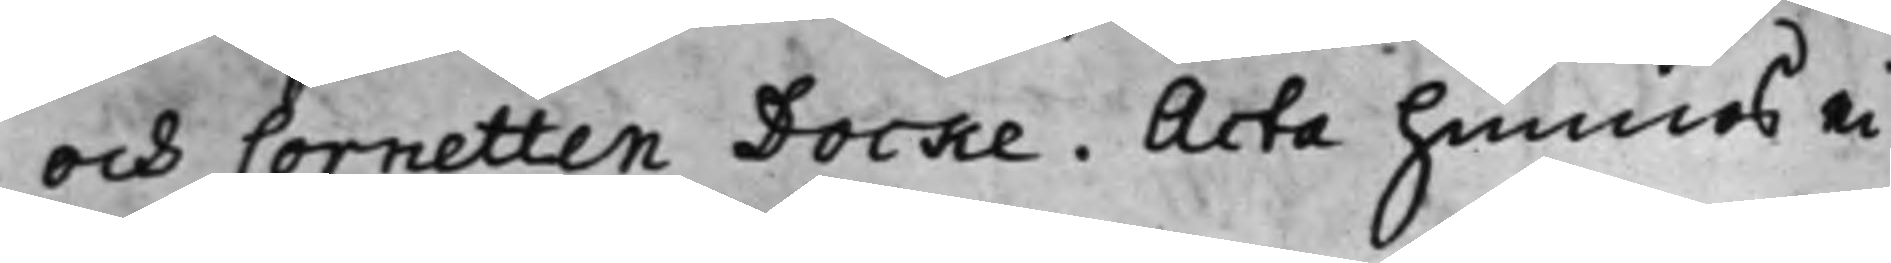och Cornetten Docke. Acta hunnes ei
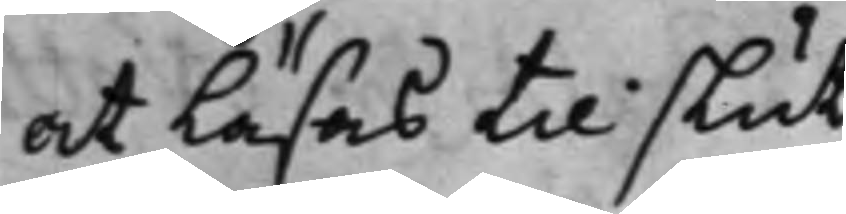at Läsas til slut.
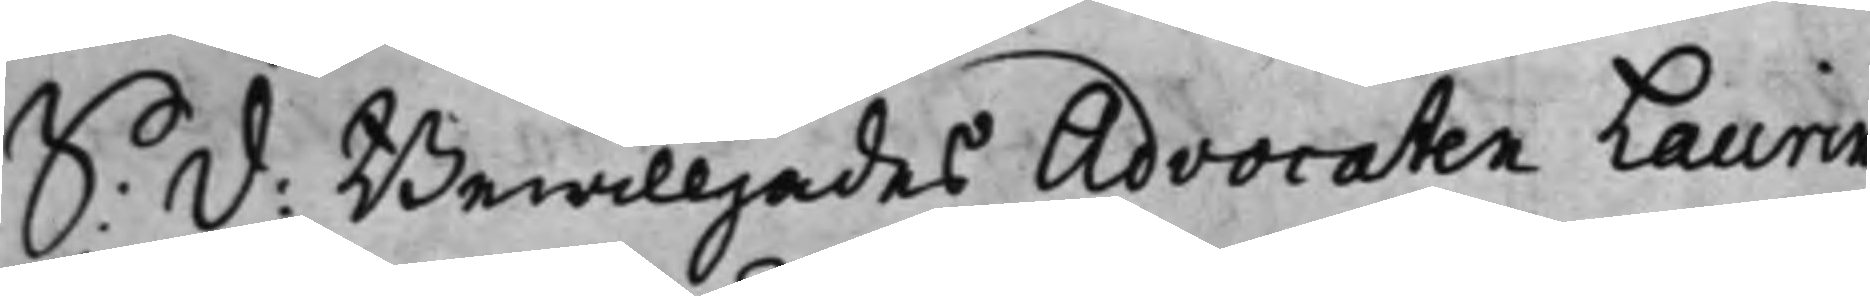S: D: Bewilljades Advocaten Laurin
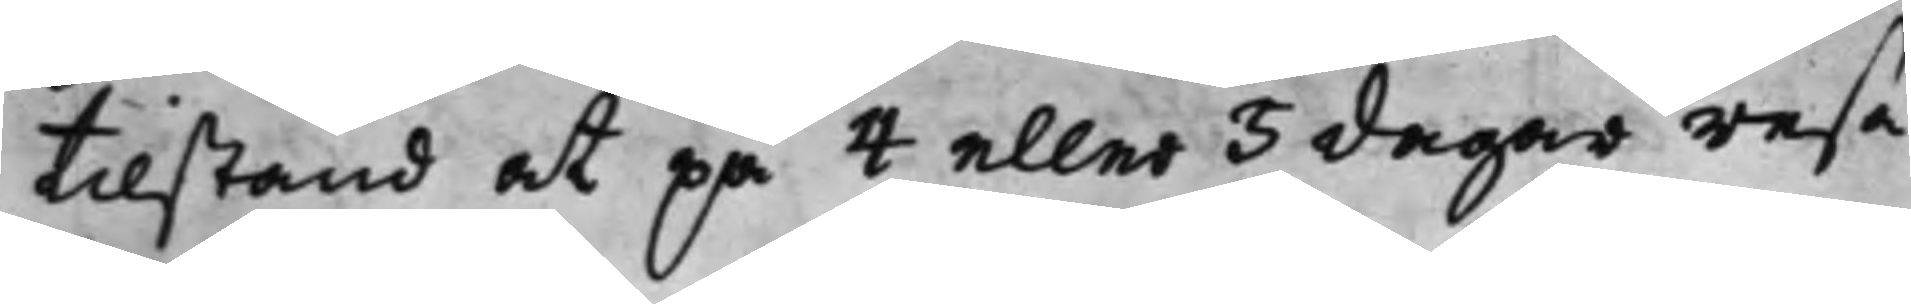tillstånd at på 4 eller 5 dagar resa
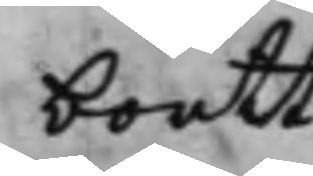bortt.
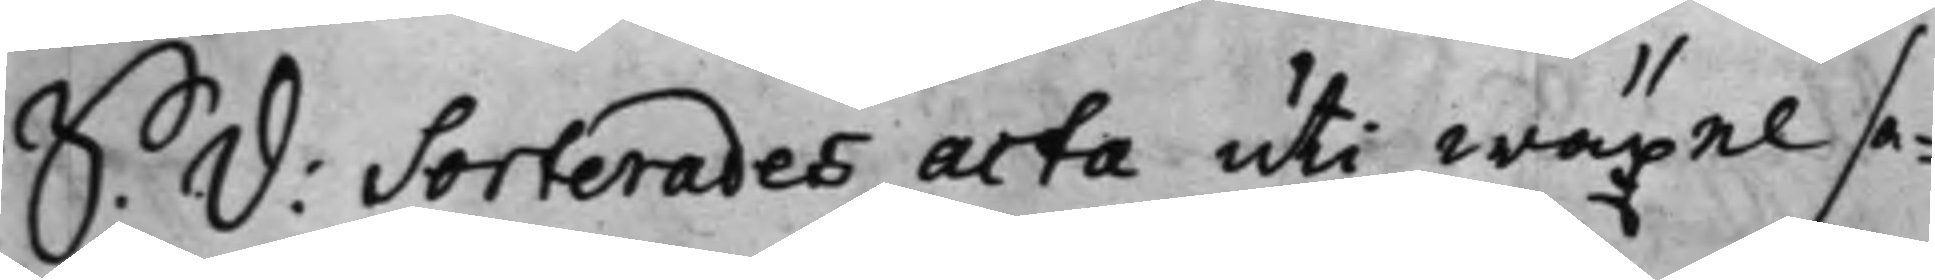S: D: Sorterades acta uti wäxel sa¬
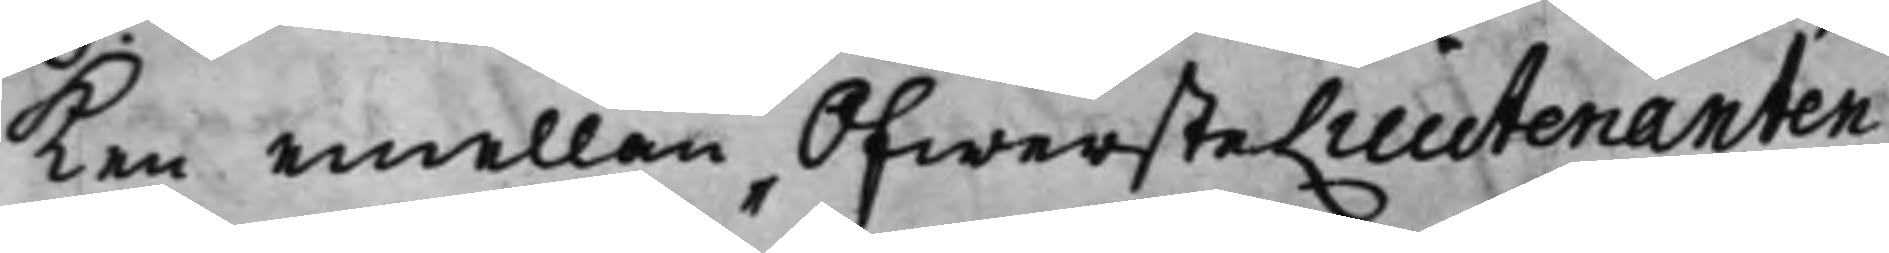ken emellan ÖfwersteLieutenanten
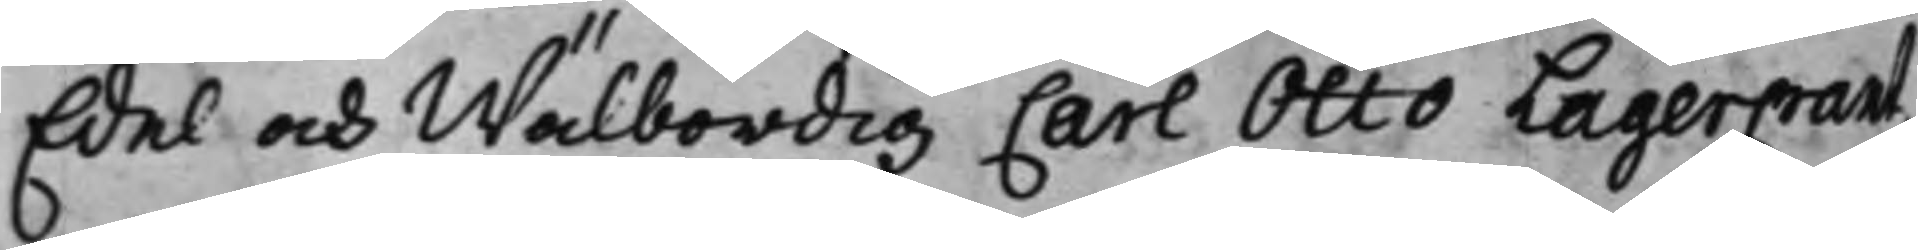Edel och Wälbördig Carl Otto LagerCrantz
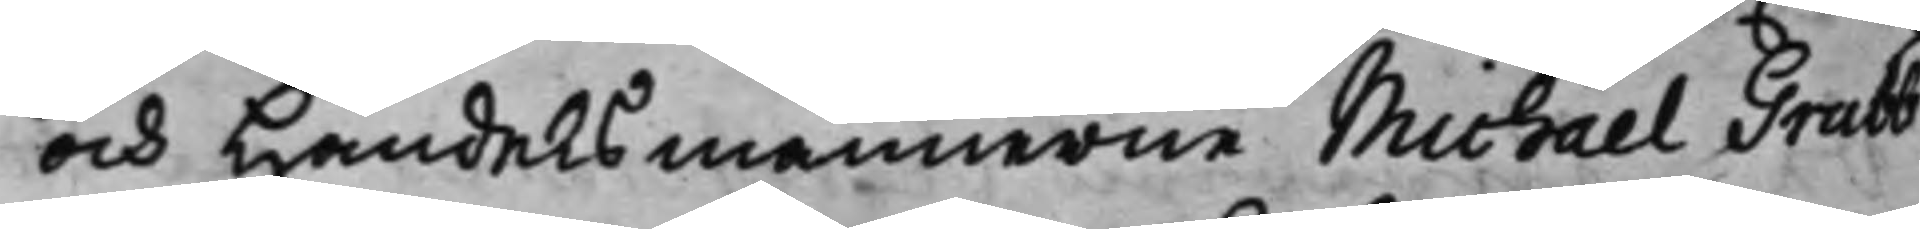och Handelsmännerne Michael Grubb
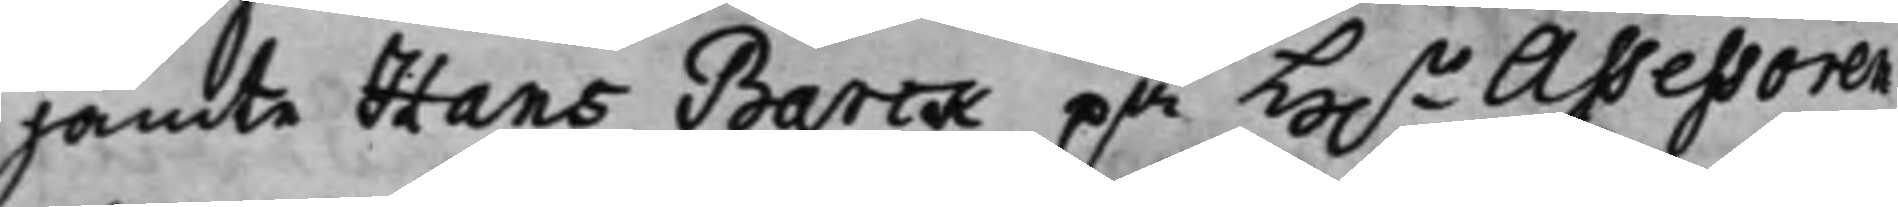jämte Hans Barck på H.r Assessoren
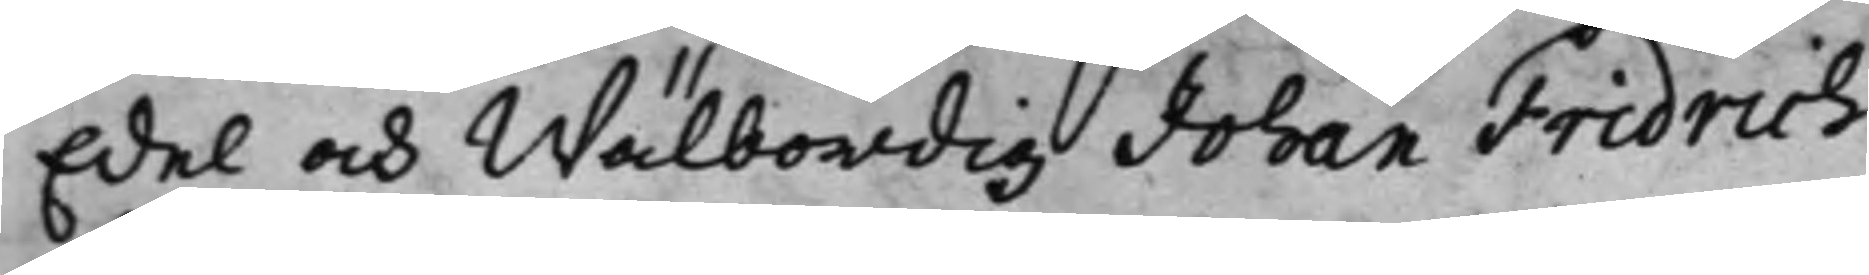Edel och Wälbördig Johan Fridrich
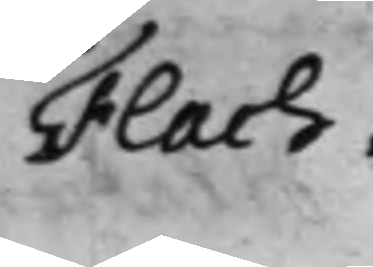Flach.
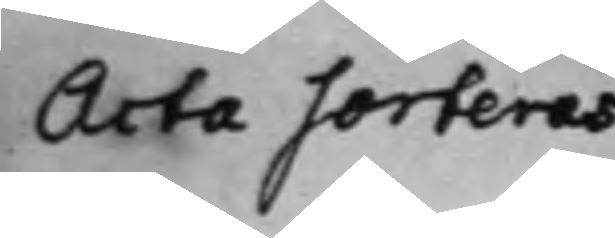Acta sorteras
